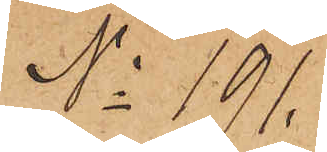No 191.
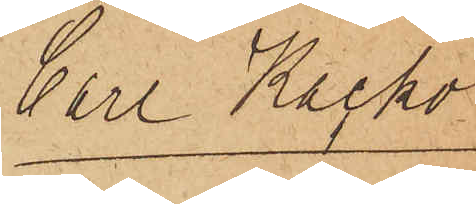Carl Kacko
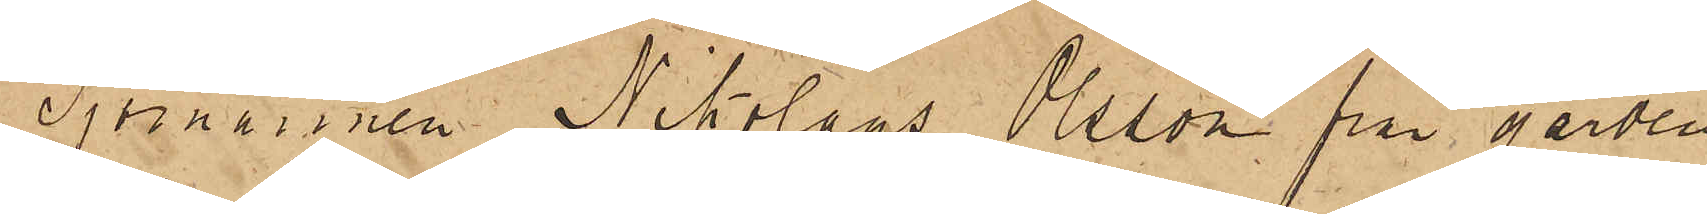Sjömannen Nikolaus Olsson på gården
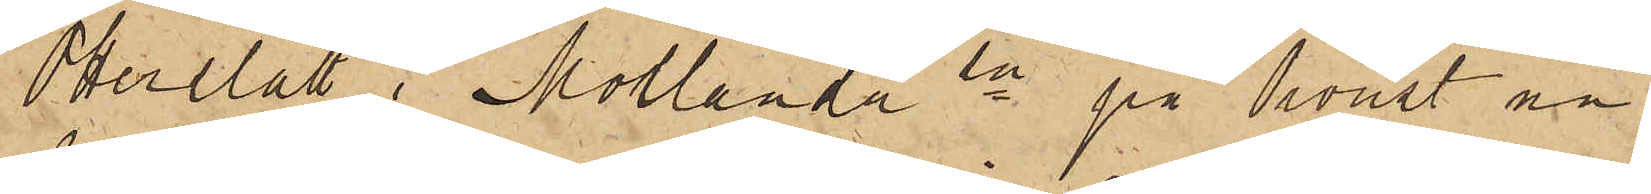Otterslätt i Morlanda sn på Oroust nu
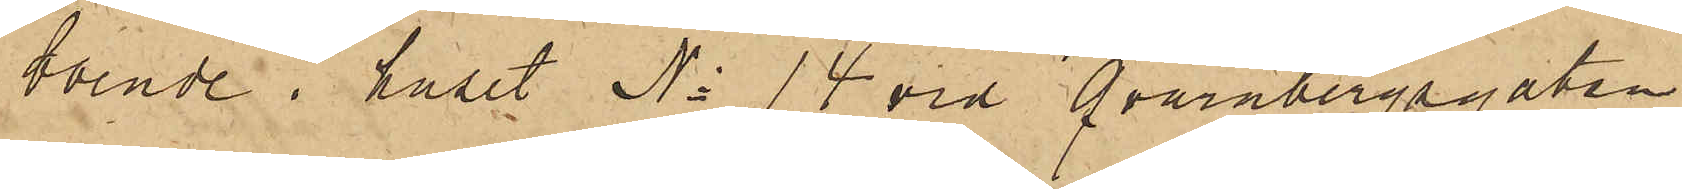boende i huset No 14 vid Qvarnbergsgatan
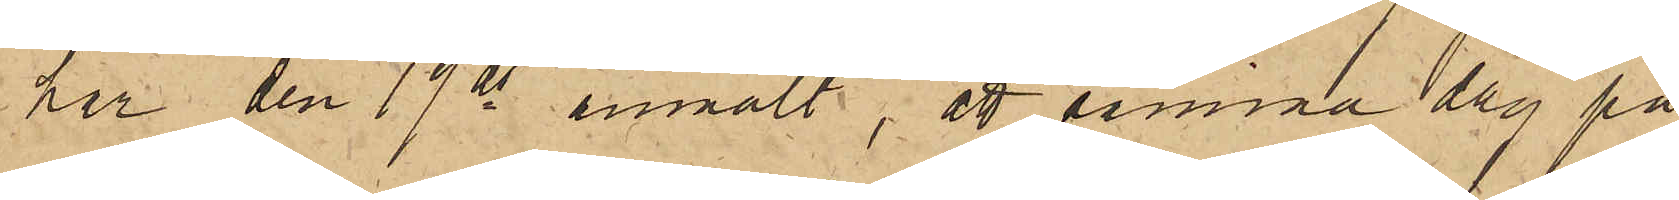har den 19 ds anmält, att samma dag på
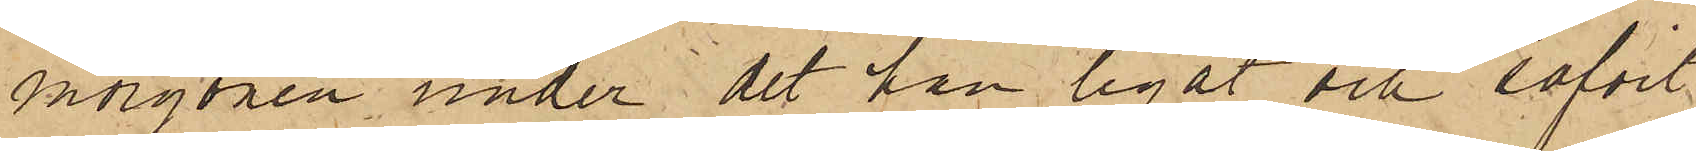morgonen under det han legat och sofvit
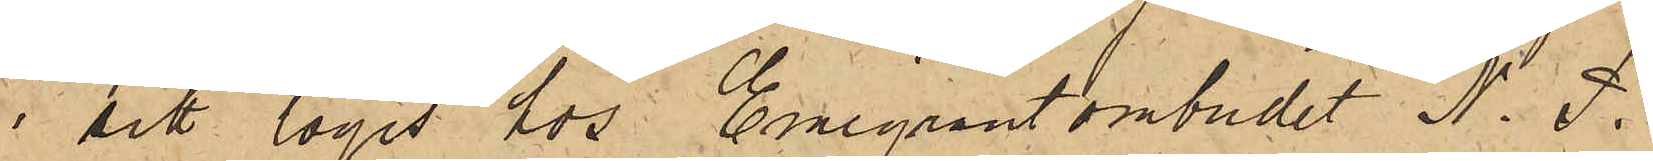i sitt logis hos Emigrantombudet N. P.
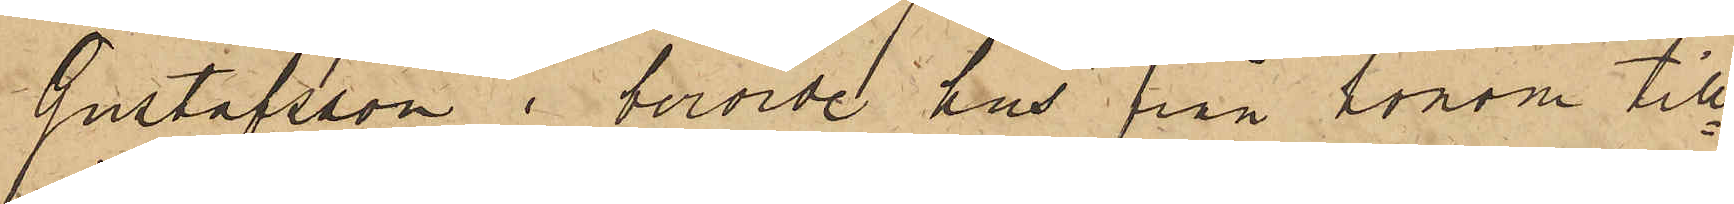Gustafsson i berörde hus från honom till¬
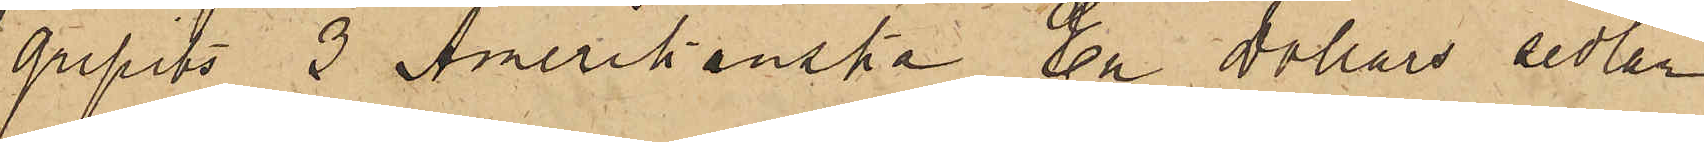gripits 3 Amerikanska En Dollars sedlar
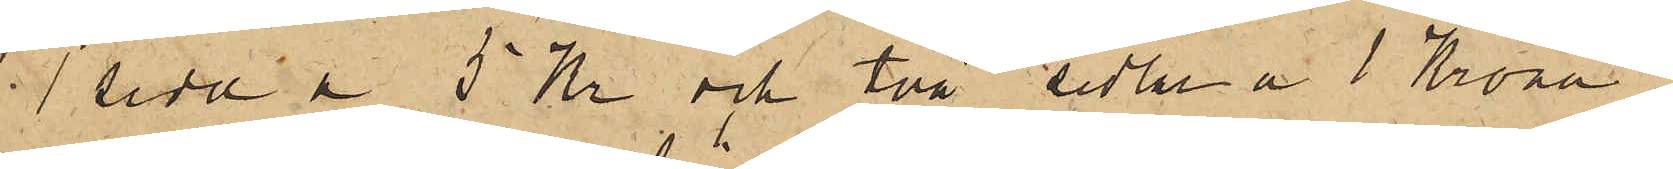1 sedel å 5 Kr och två sedlar a 1 Krona;
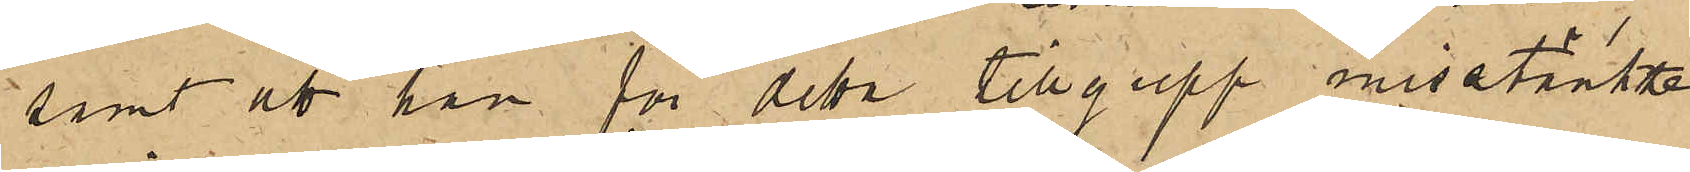samt att han för detta tillgrepp misstänkte
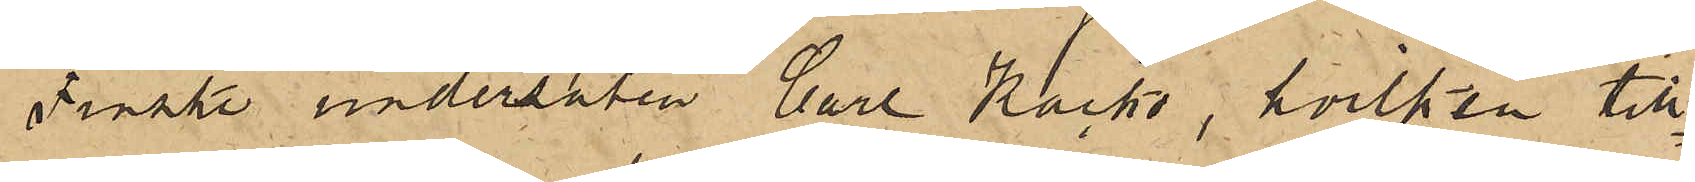Finske undersåten Carl Kacko, hvilken till¬
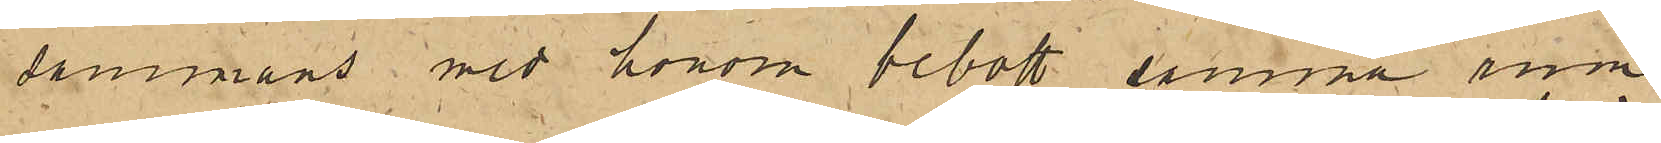sammans med honom bebott samma rum
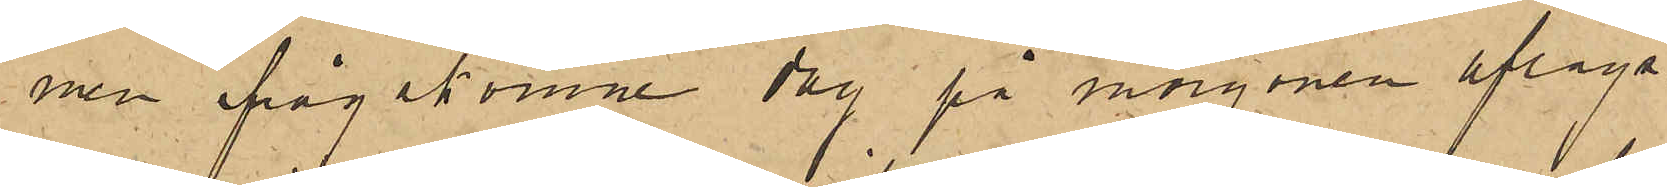men ifrågakomne dag på morgonen aflägs¬
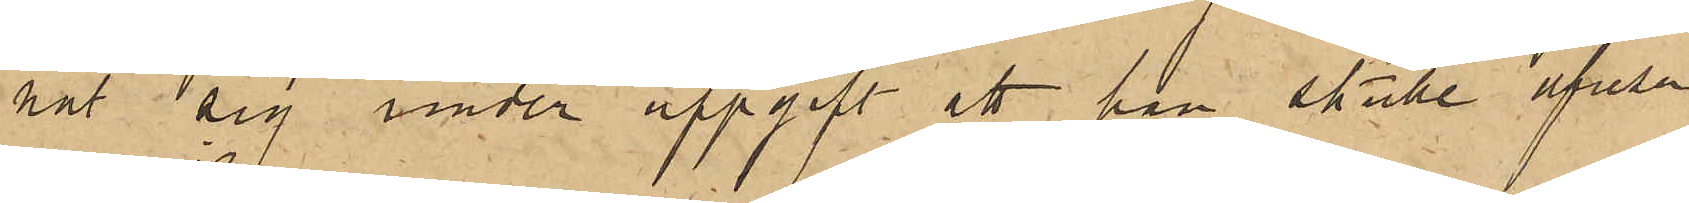nat sig under uppgift att han skulle afresa
